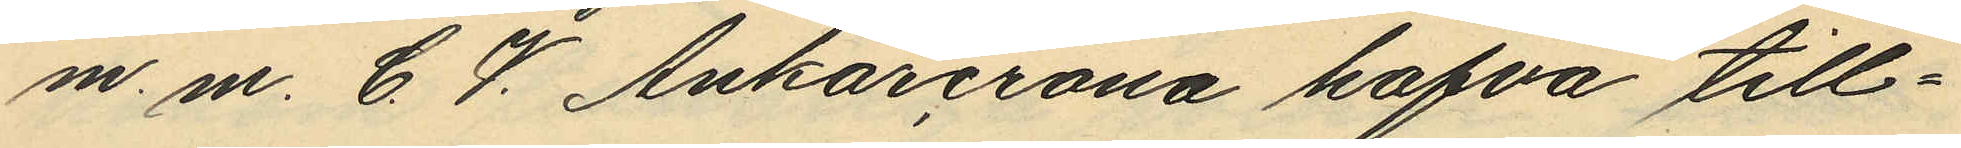m. m. C. V. Ankarcrona hafva till¬
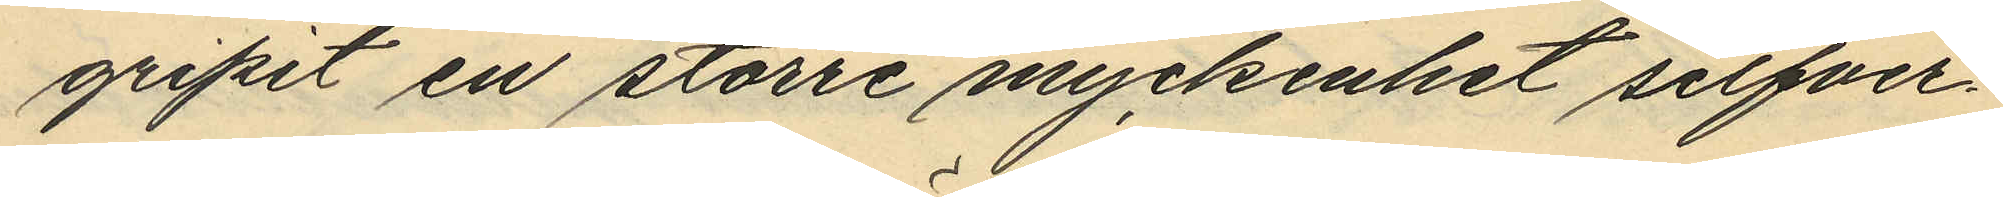gripit en större myckenhet silfver¬
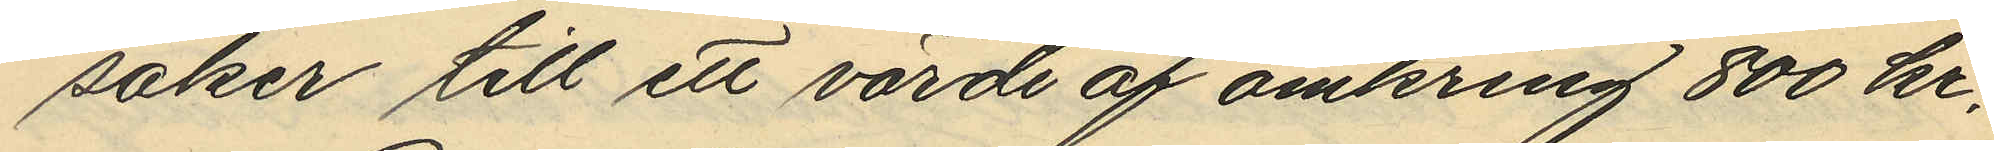saker till ett värde af omkring 800 kr.
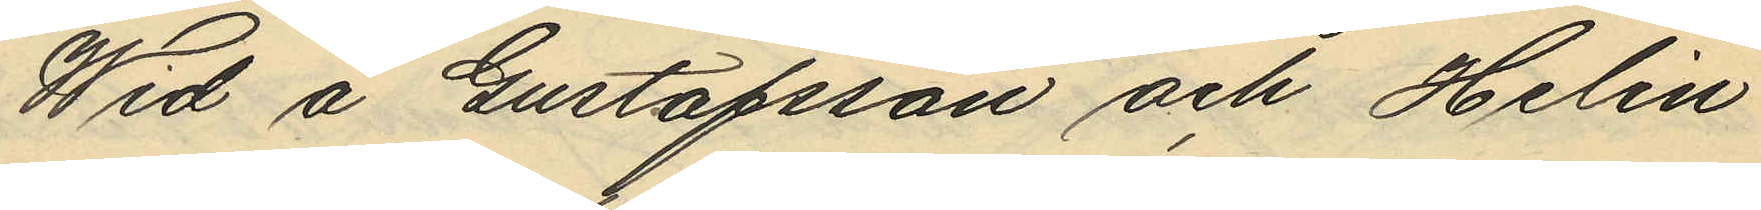Wid å Gustafsson och Helin
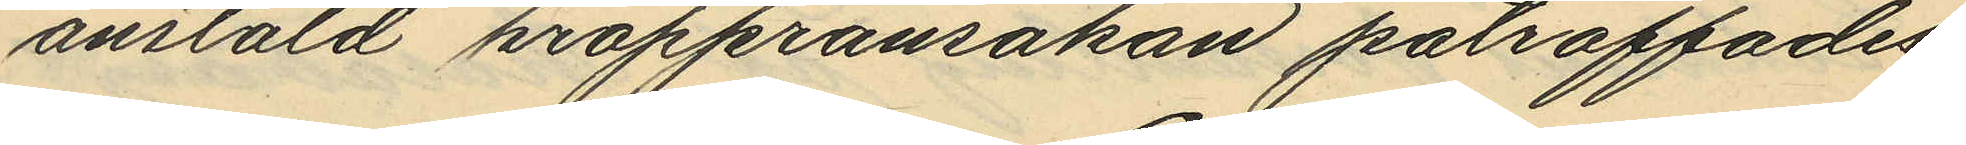anstäld kroppransakan påträffades
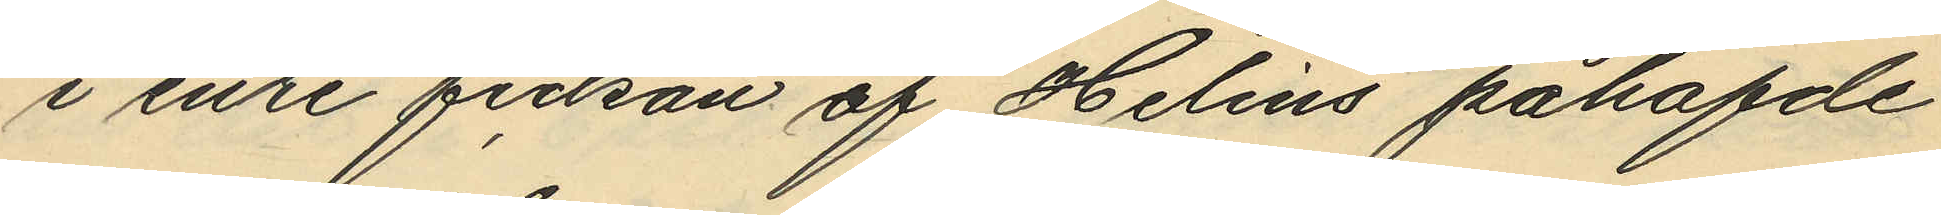i inre fickan af Helins påhafde
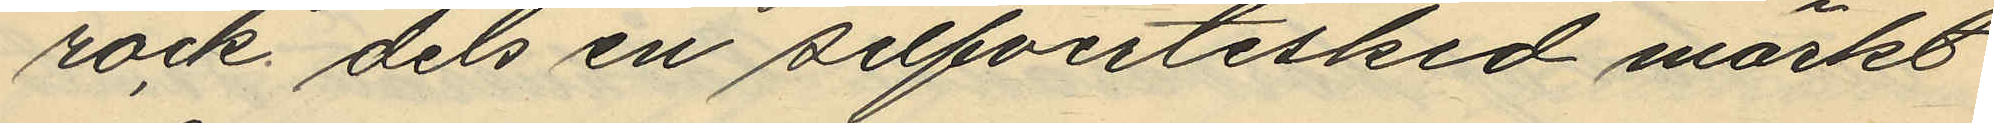rock dels en silfvertesked märkt
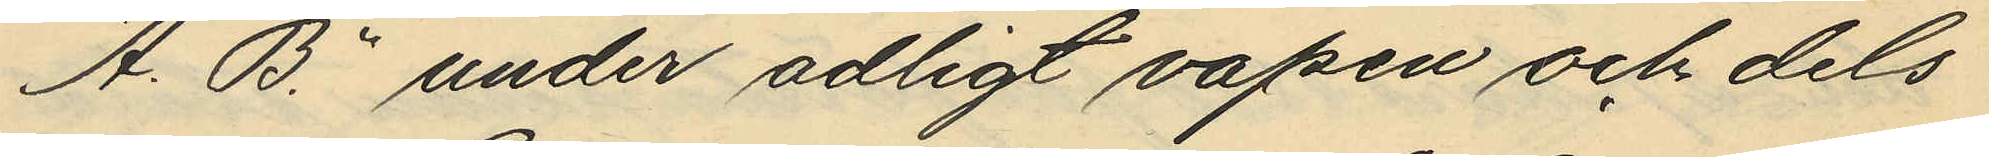"A. B." under adligt vapen och dels
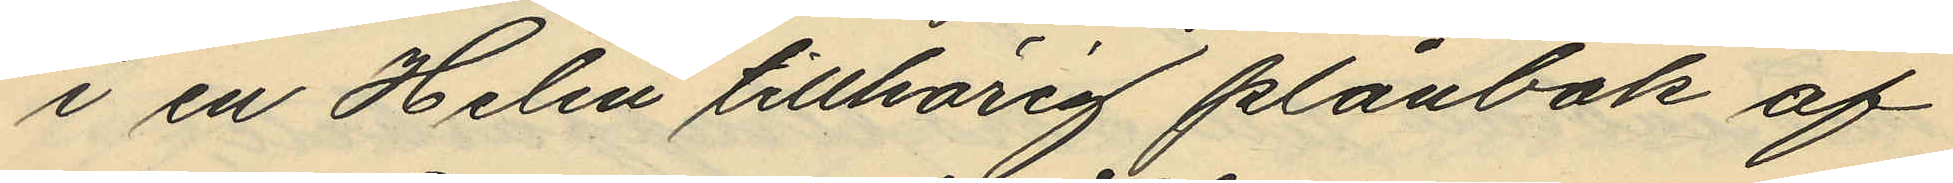i en Helin tillhörig plånbok af
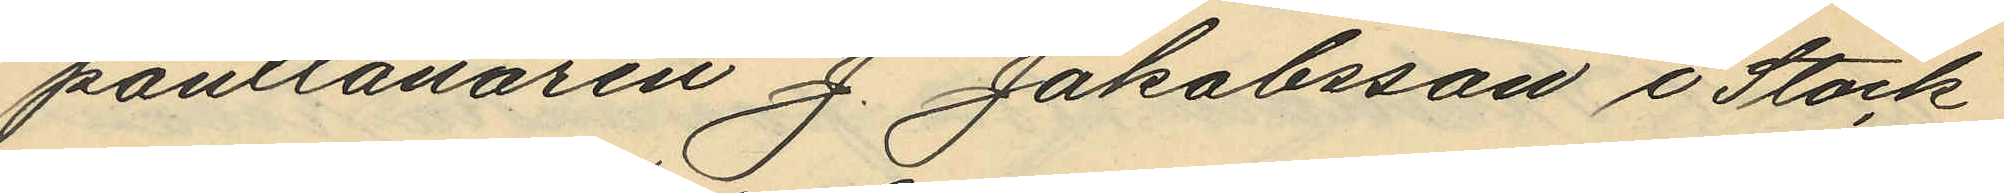pantlånaren J. Jakobsson i Stock¬
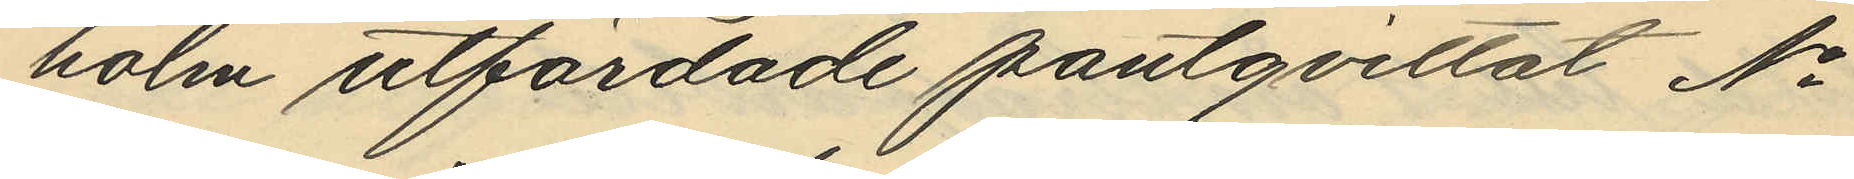holm utfärdade pantqvittot No
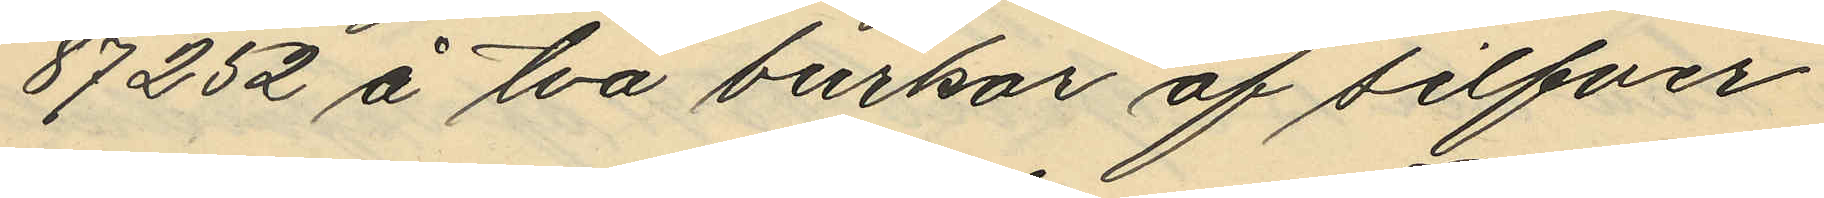87252 å två burkar af silfver
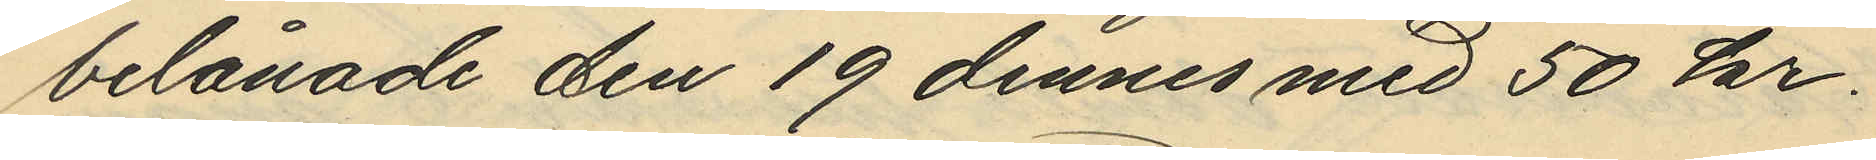belånade den 19 dennes med 50 kr.
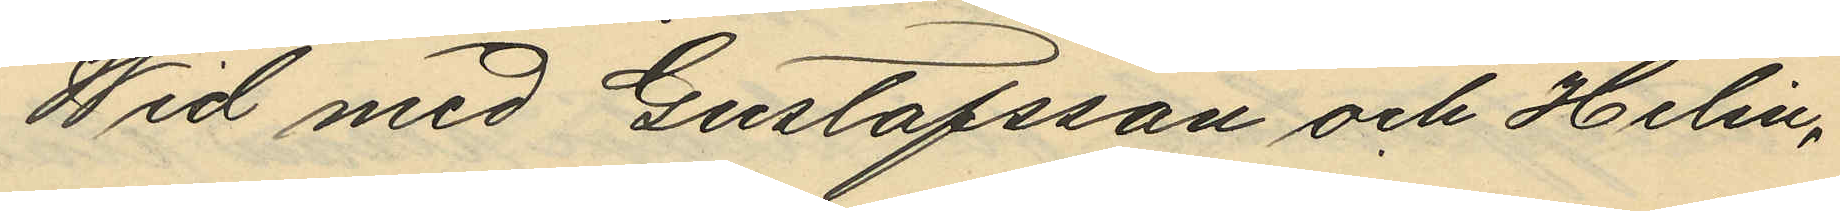Wid med Gustafsson och Helin,
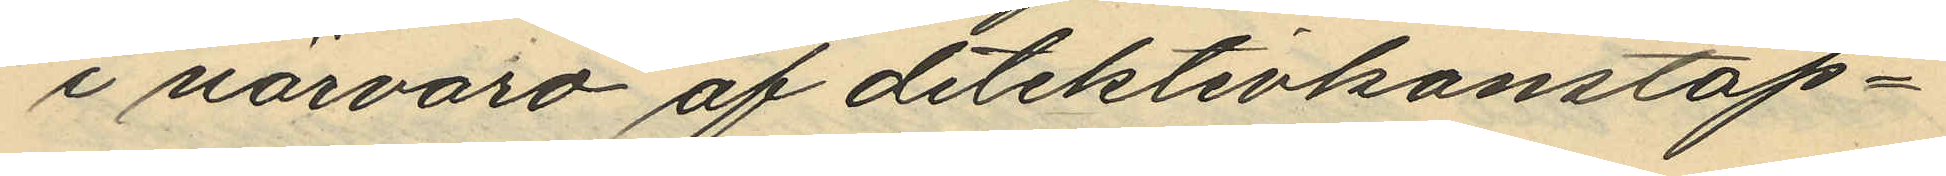i närvaro af detektivkonstap¬
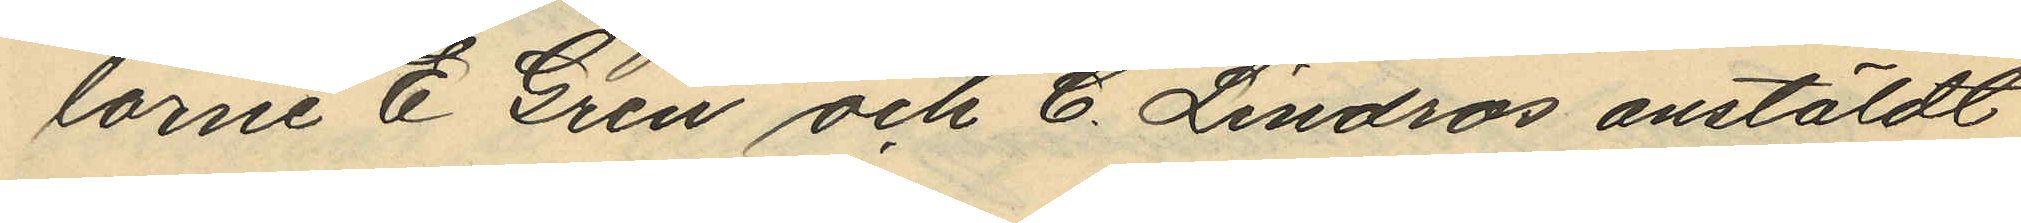larne E. Gren och C. Lindros anstäldt
